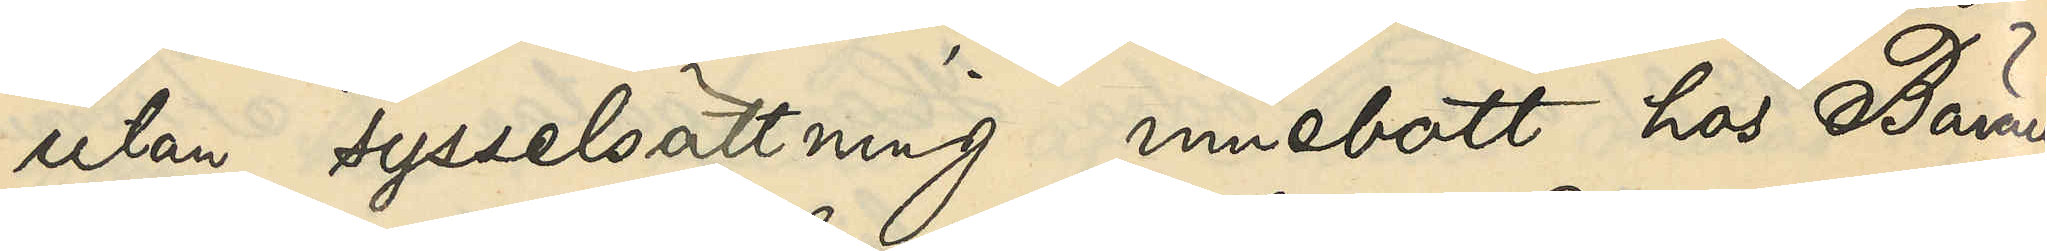utan sysselsättning innebott hos Bäraren
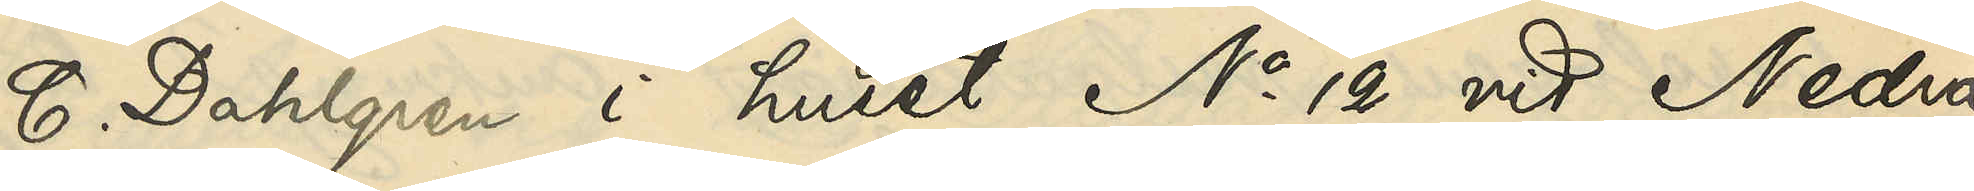C. Dahlgren i huset No 12 vid Nedra
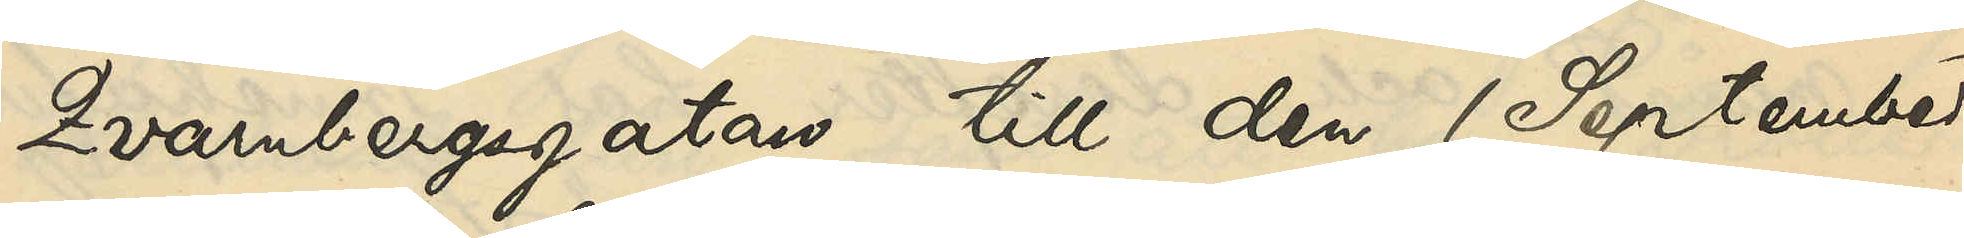Qvarnbergsgatan till den 1 September
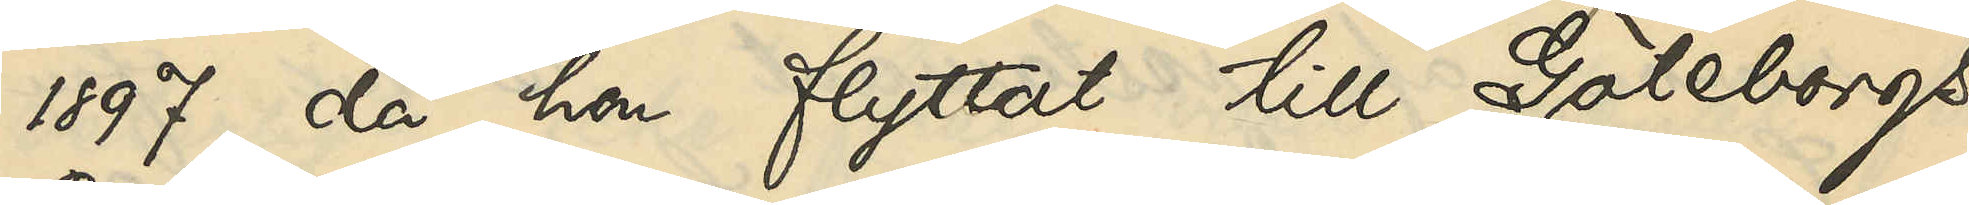1897, då hon flyttat till Göteborgs
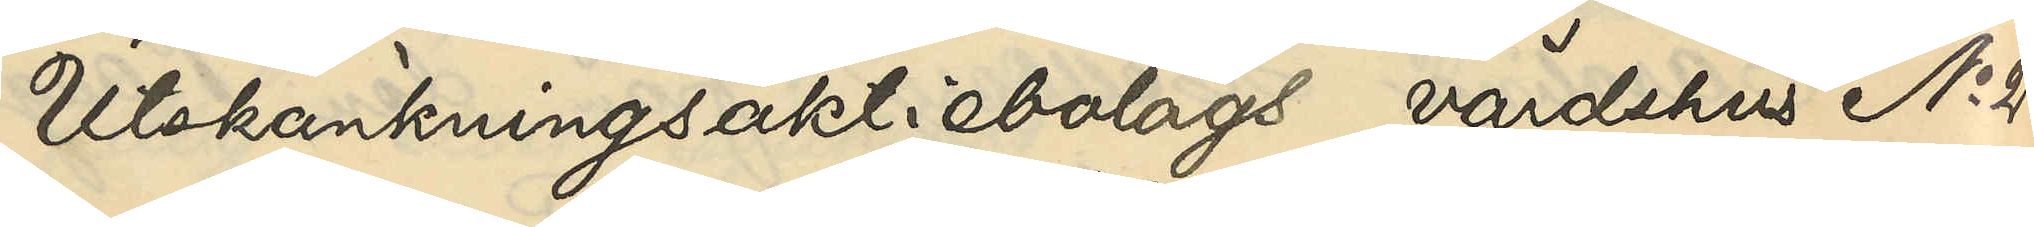Utskänkningsaktiebolags värdshus No 28
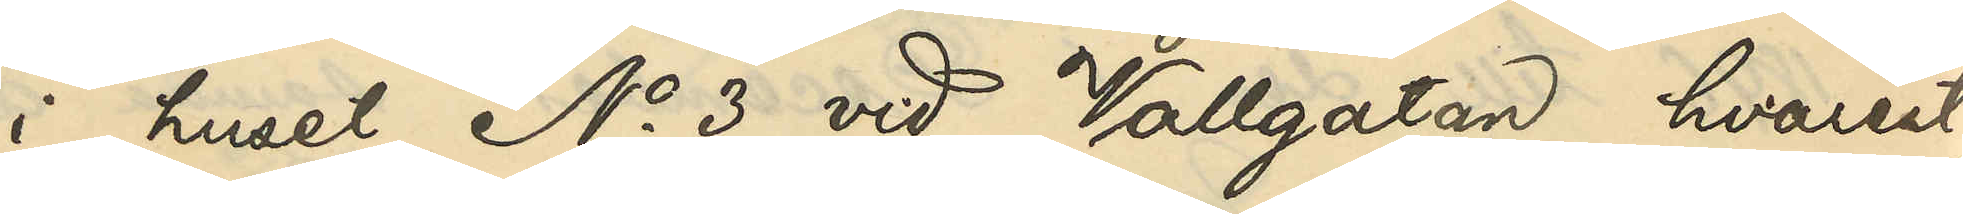i huset No 3 vid Vallgatan, hvarest
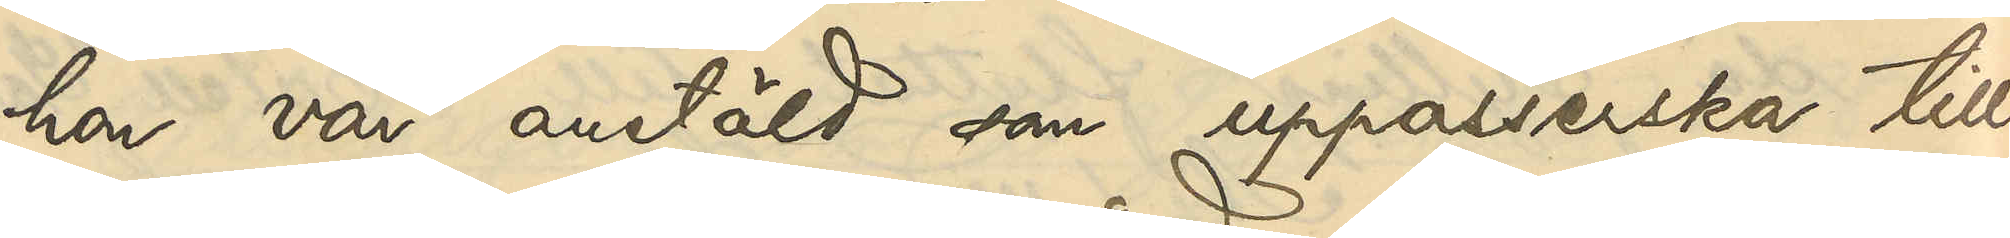hon var anstäld som uppasserska till
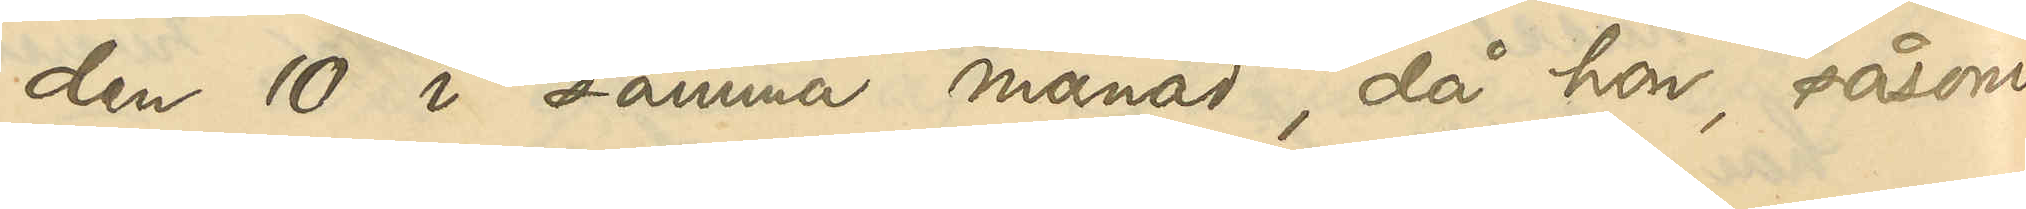den 10 i samma månad, då hon, såsom
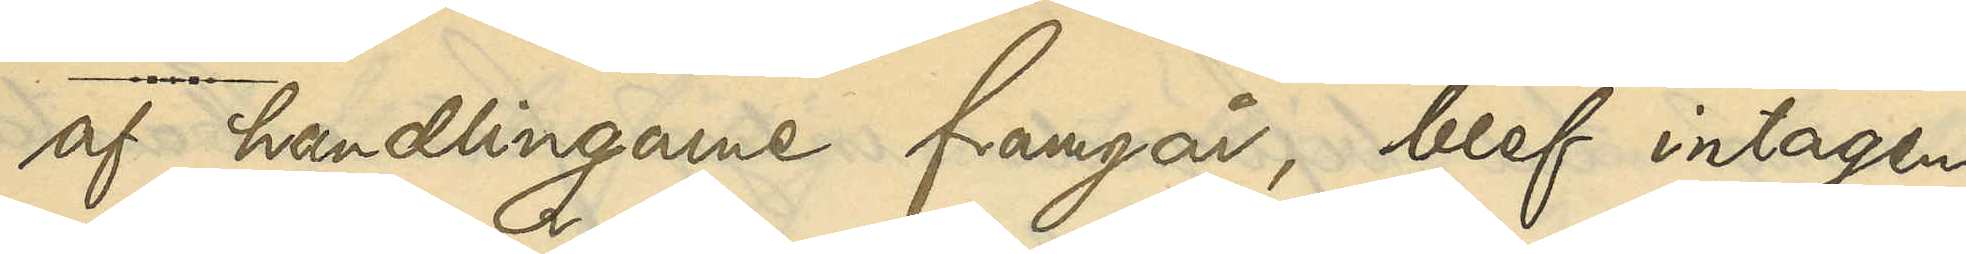af handlingarne framgår, blef intagen
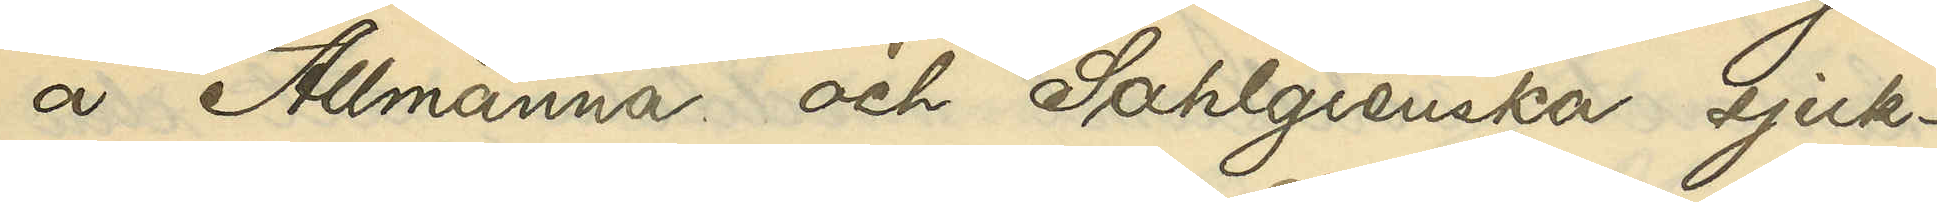å Allmänna och Sahlgrenska sjuk¬
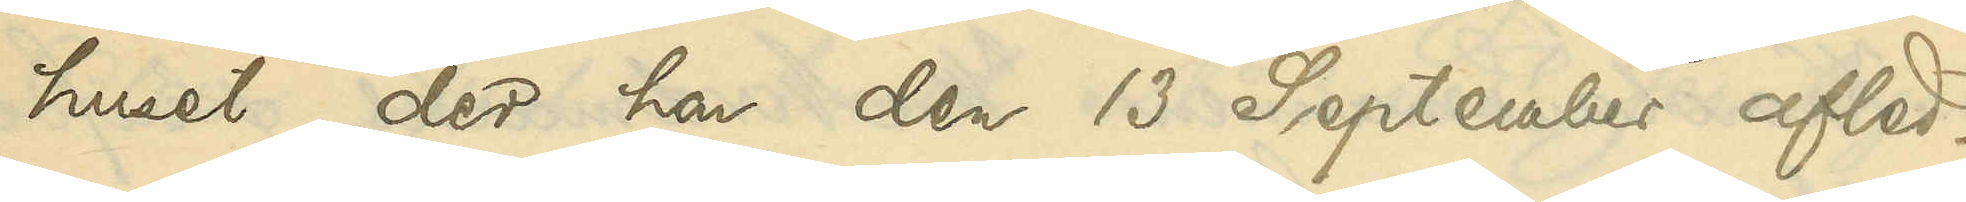huset, der hon den 13 September afled.
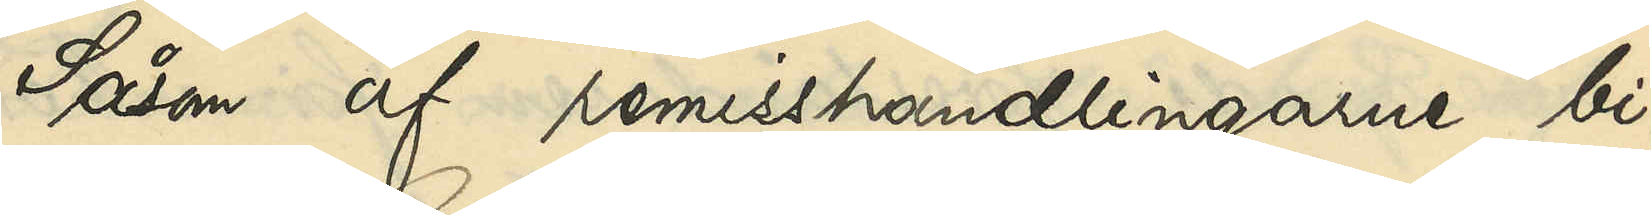Såsom af remisshandlingarne bi¬
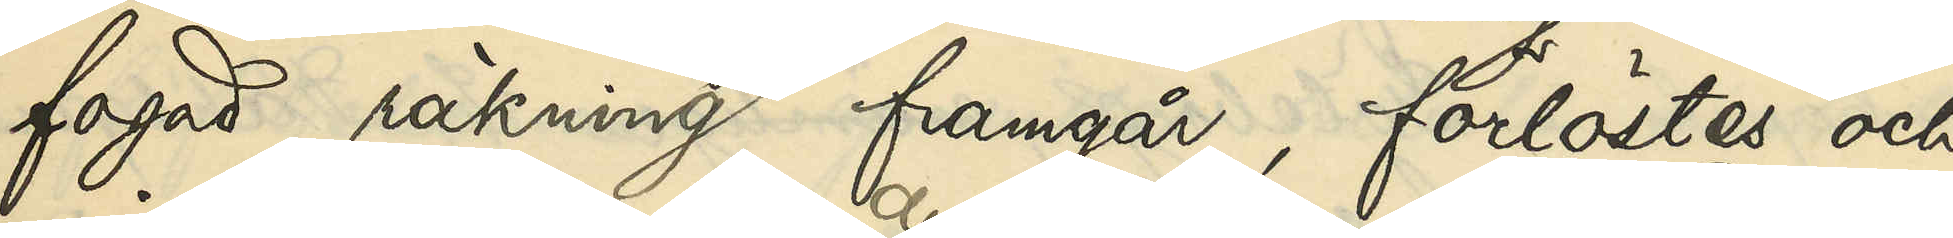fogad räkning framgår, förlöstes och
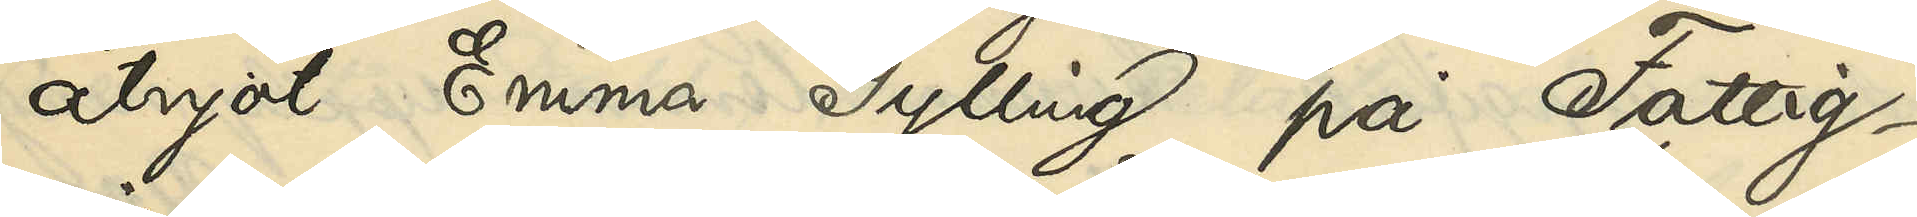åtnjöt Emma Gylling på Fattig¬
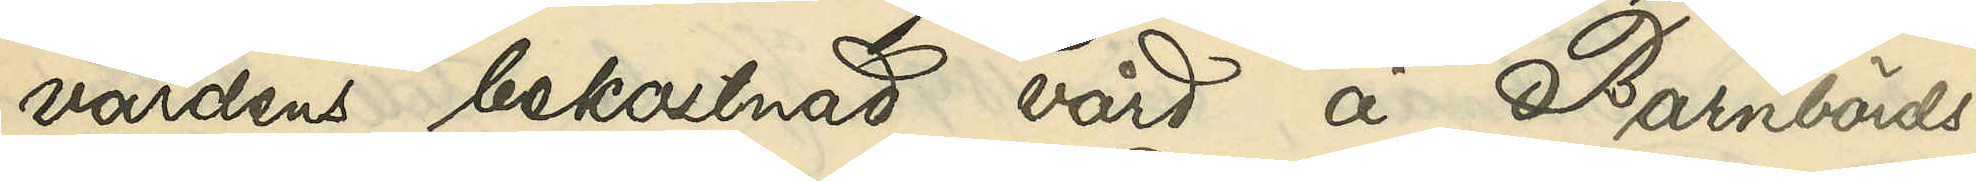vårdens bekostnad vård å Barnbörds¬
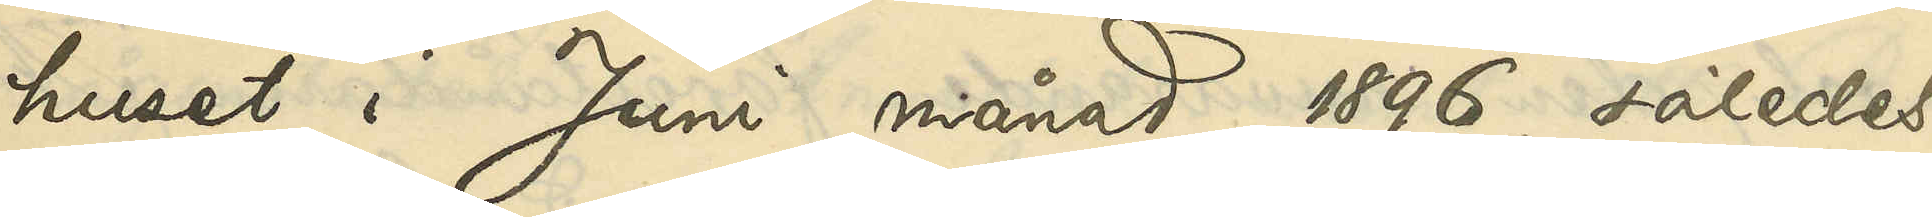huset i Juni månad 1896, således
